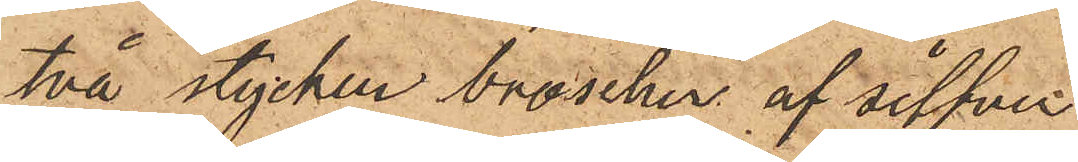två stycken broscher af silfver
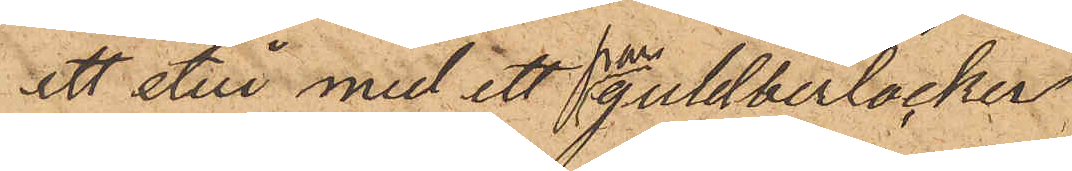ett etui med ett par guldberlocker
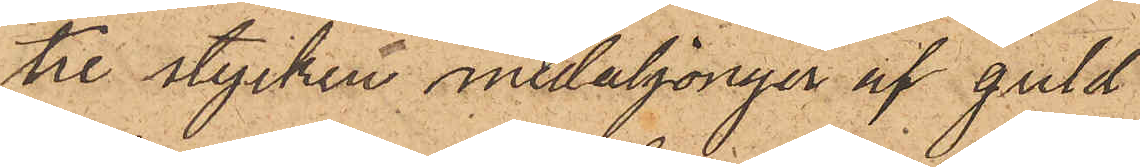tre stycken medaljonger af guld
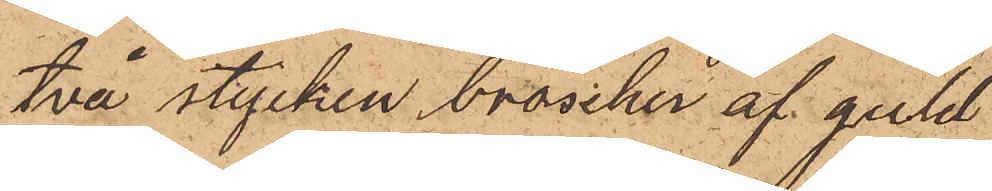två stycken broscher af guld
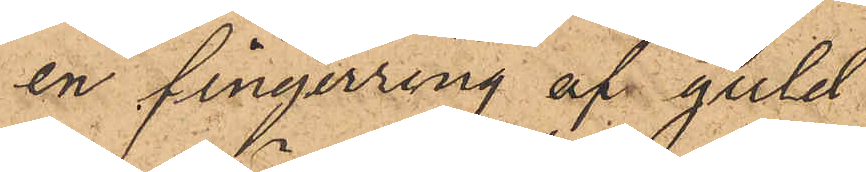en fingerring af guld
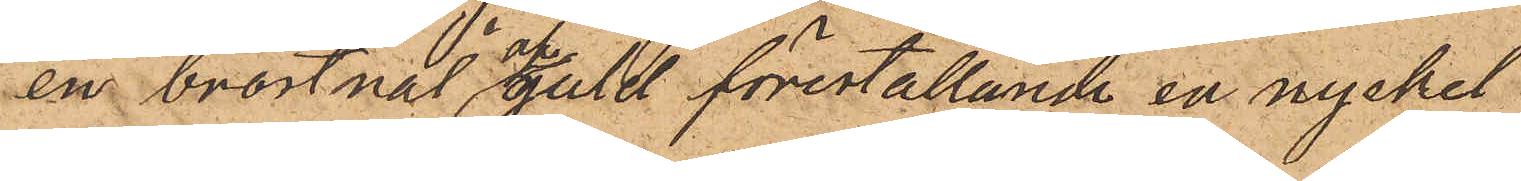en bröstnål af guld föreställande en nyckel
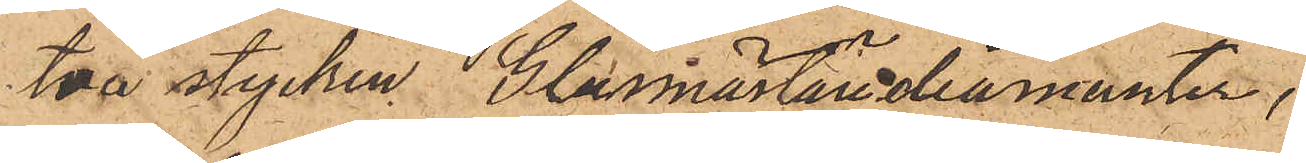två stycken Glasmästarediamanter,
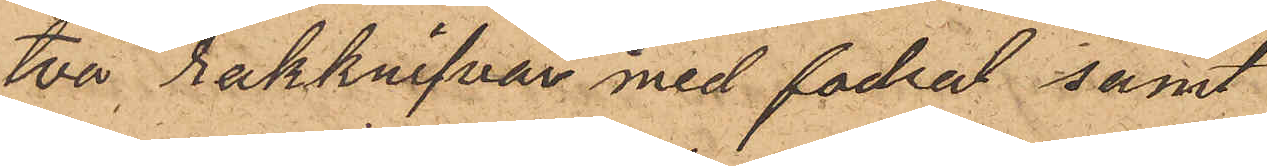två rakknifvar med fodral samt
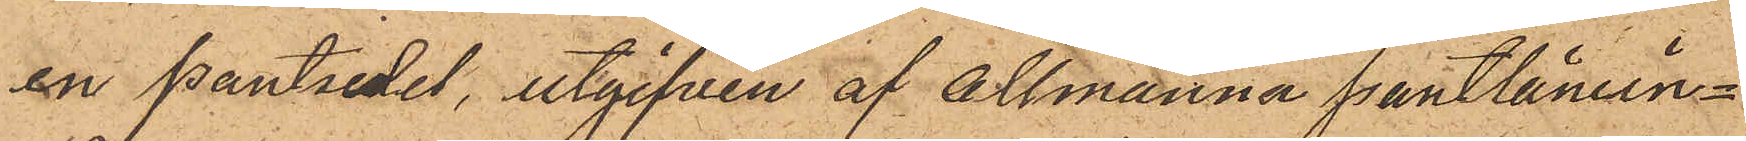en pantsedel, utgifven af Allmänna Pantlånein¬
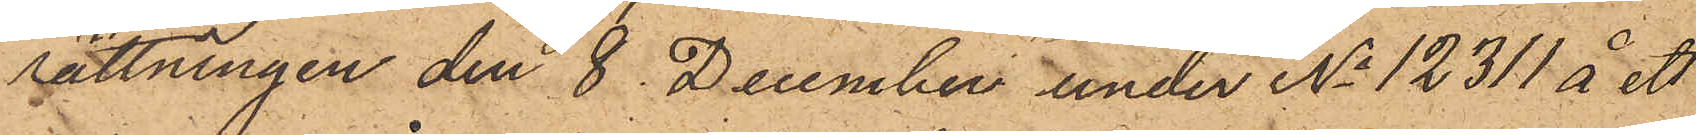sättningen den 8 December under No 12311 å ett
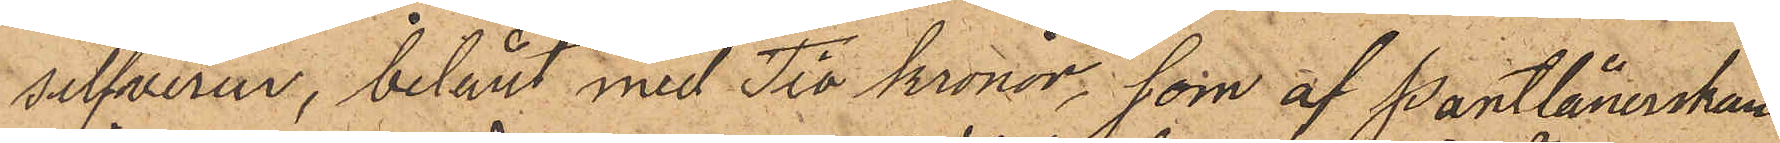silfverur, belånt med Tio Kronor, som af Pantlånerskan
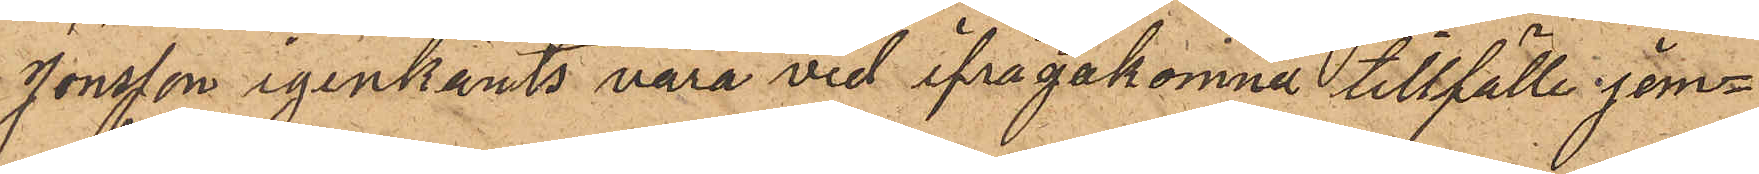Jonsson igenkänts vara vid ifrågakomne tillfälle jem¬
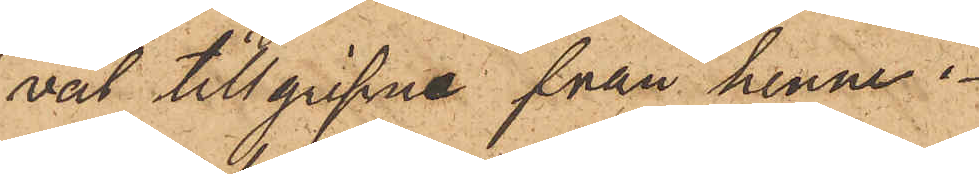väl tillgripne från henne.
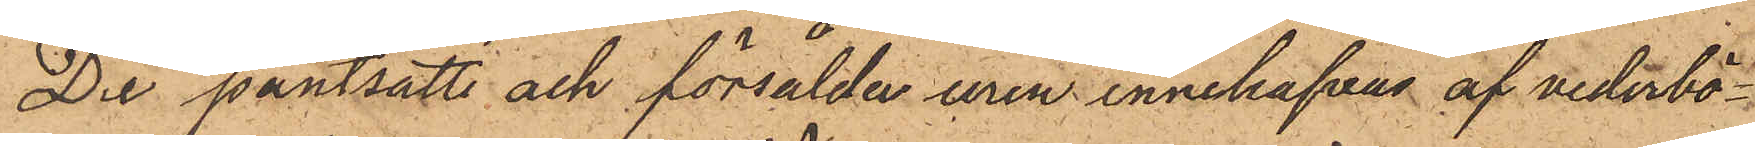De pantsatte och försålda uren innehafvas af vederbö¬
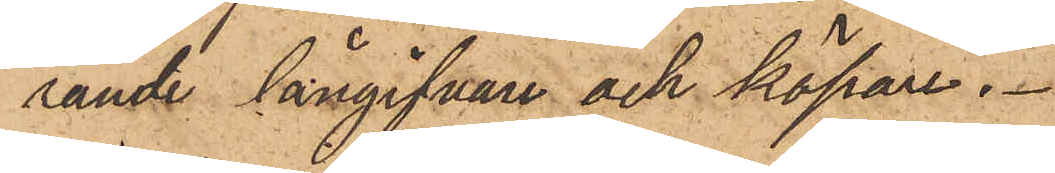rande långifvare och köpare.
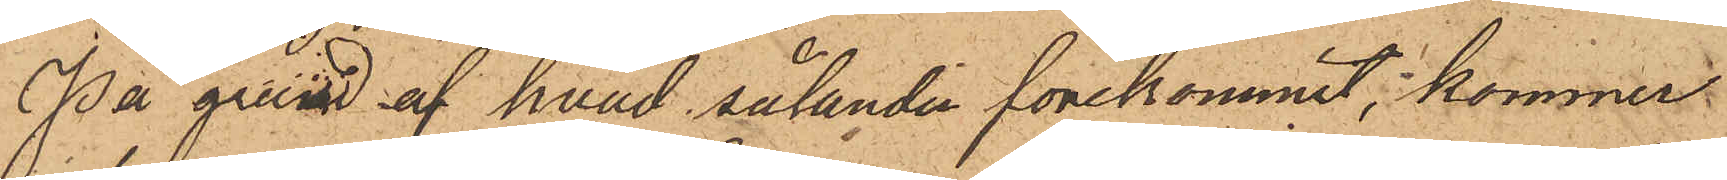På grund af hvad sålunda förekommit, kommer
